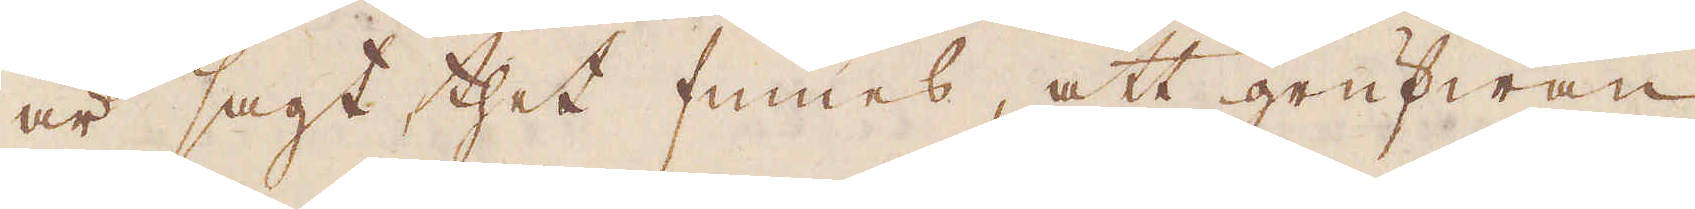är sagt thet finnes, att grufwan
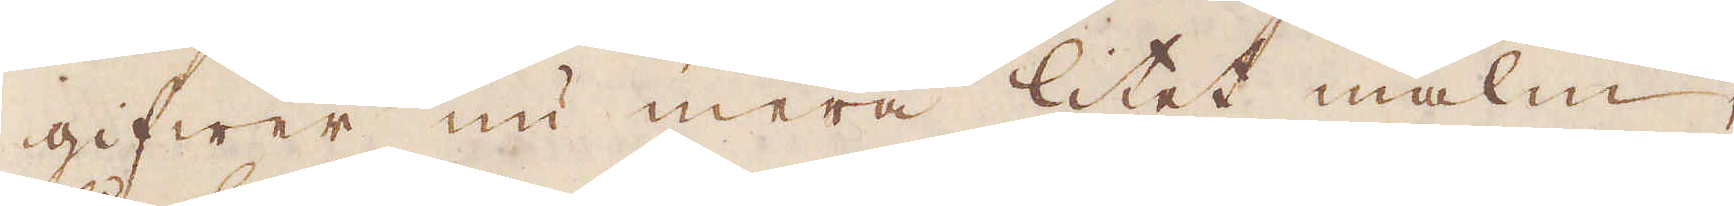gifwer nu mera litet malm,
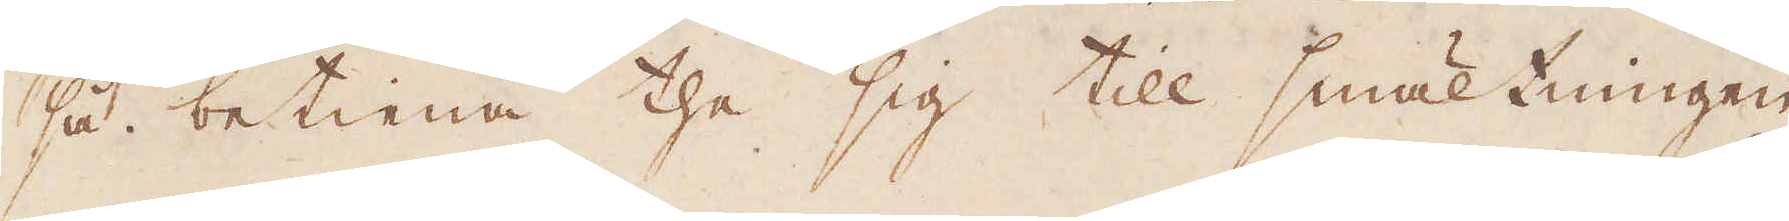så betiena the sig till smältningen
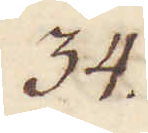34.
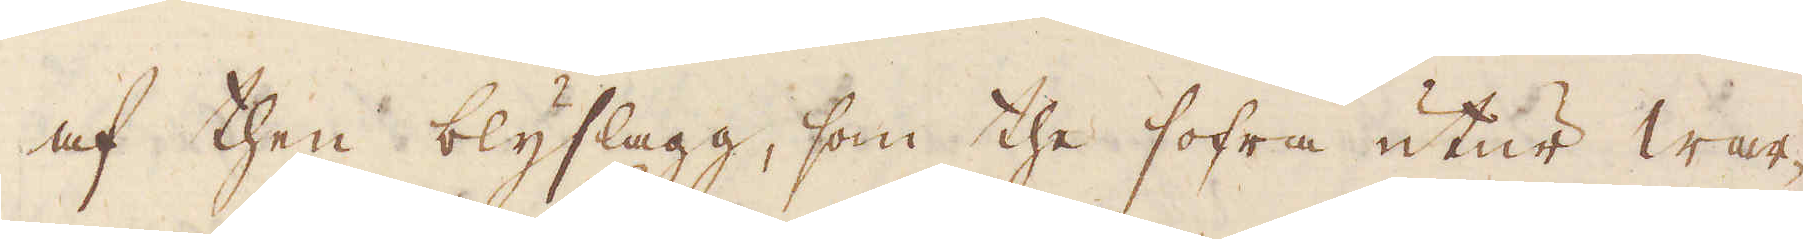af then blyslagg, som the sofra utur war-
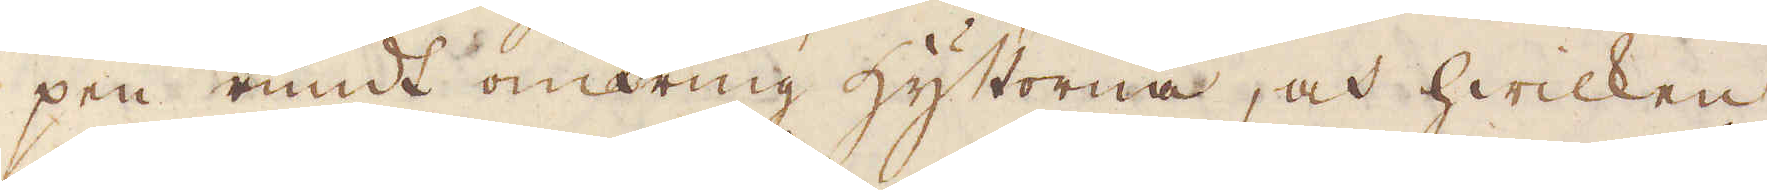pen rundt omkring hyttorna, och hwilken
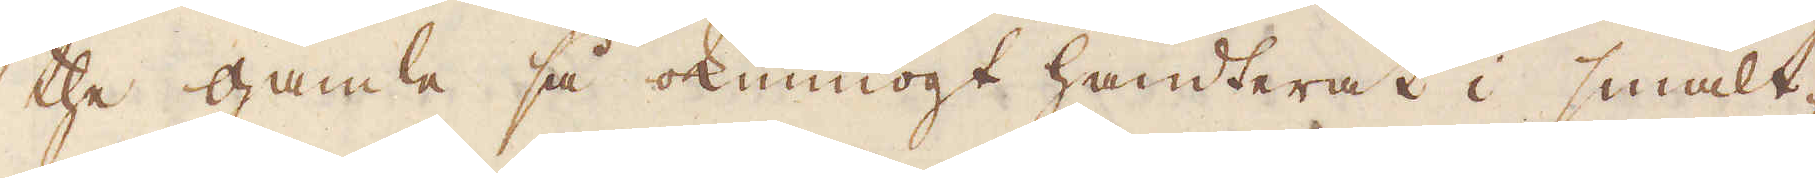the gamla så okunnogt handterat i smält-
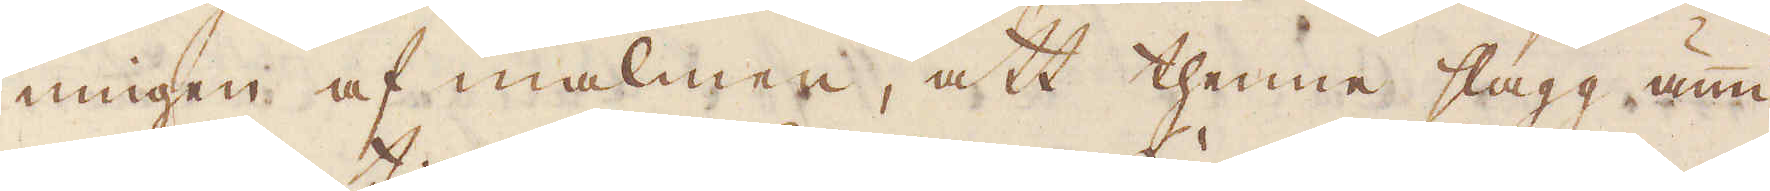ningen af malmen, att thenna slagg, ännu
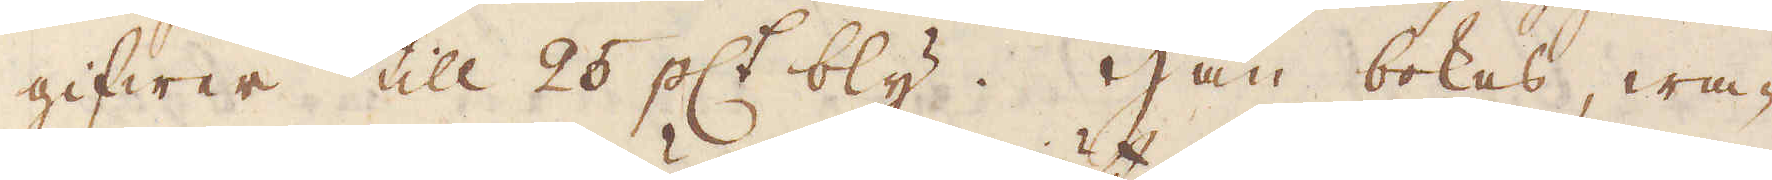gifwer till 25 pC:t bly. Han bokas, wa-
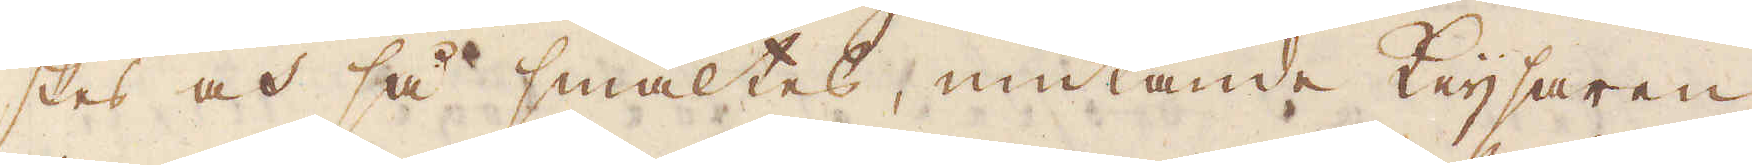skas av så smältes, mutande keijsaren
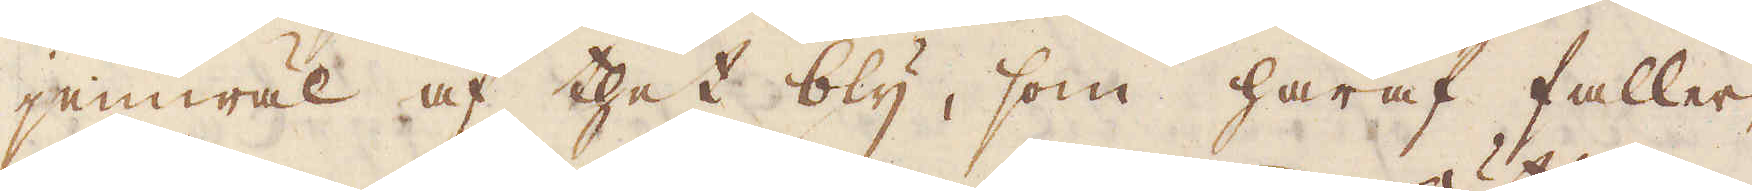jemwäl af thet bly, som häraf faller,
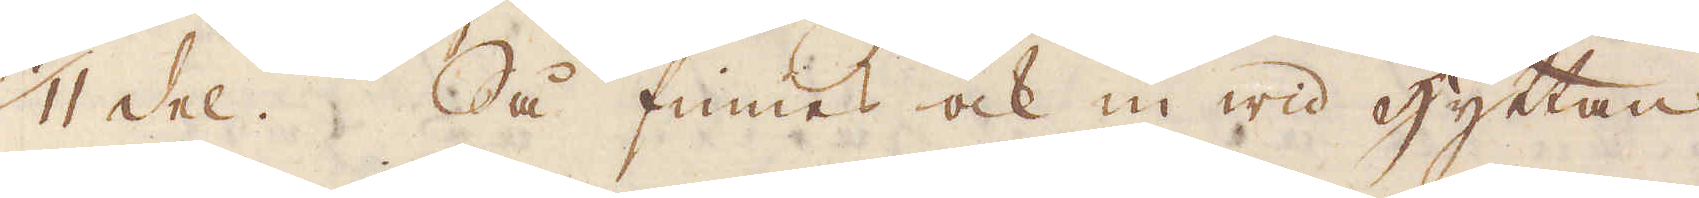1/11 del. Så finnas ock in wid hyttan
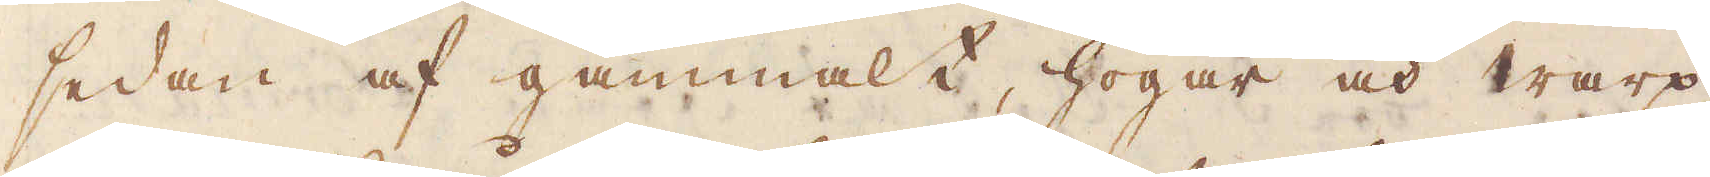sedan af gammalt, högar och warp
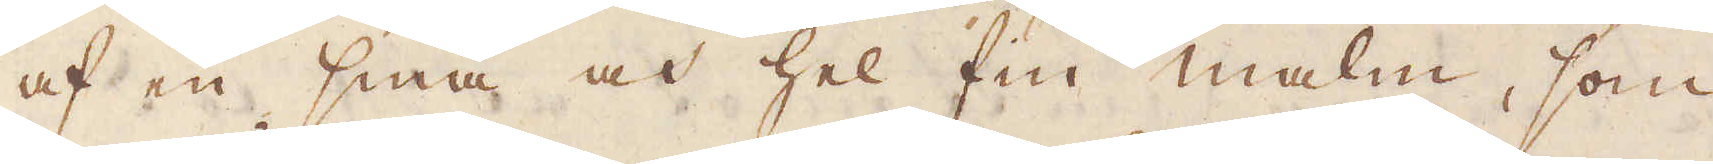af en små och hel fin malm, som
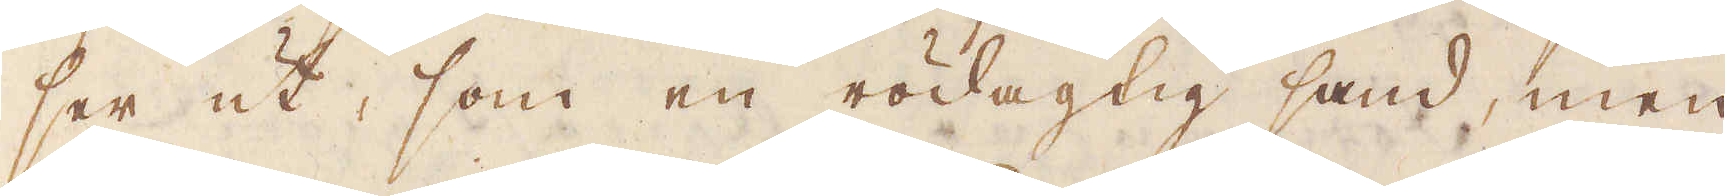ser ut, som en rödagtig sand, men
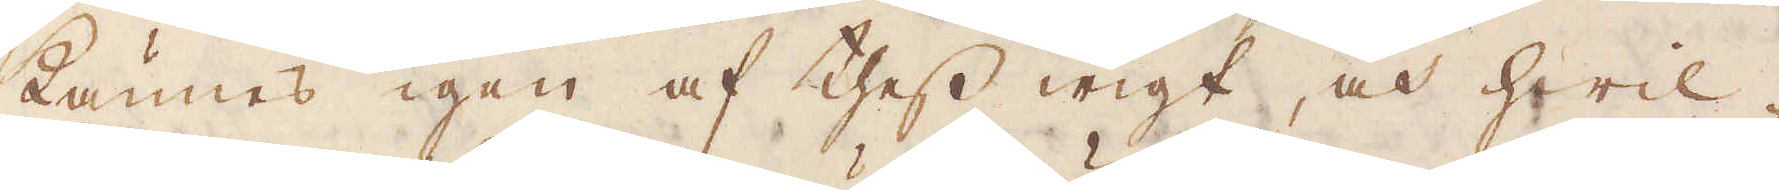kännes igen af thess wigt, och hwil-
